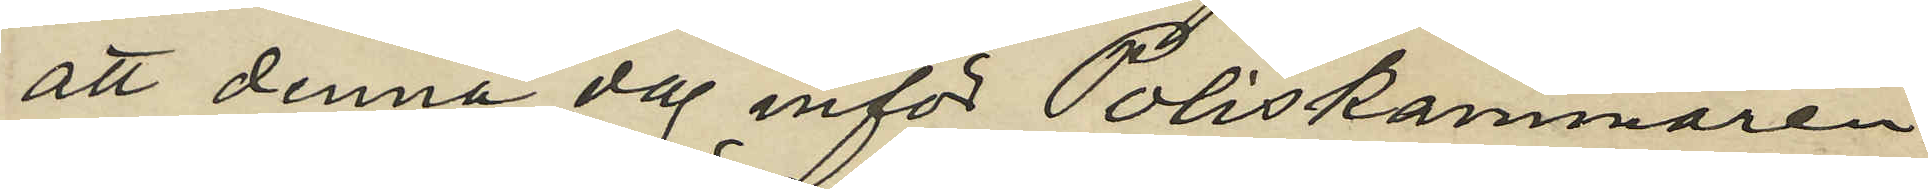att denna dag inför Poliskammaren
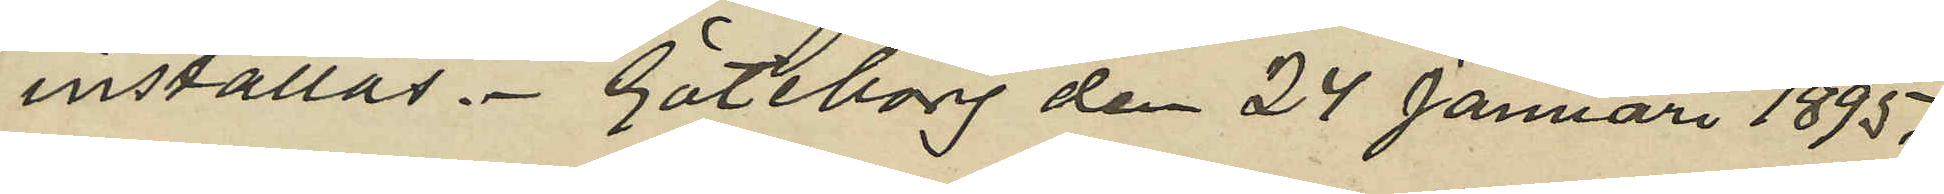inställas. Göteborg den 24 Januari 1895.
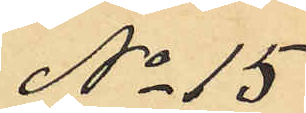No 15
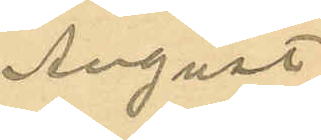August
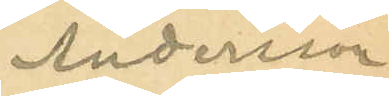Andersson
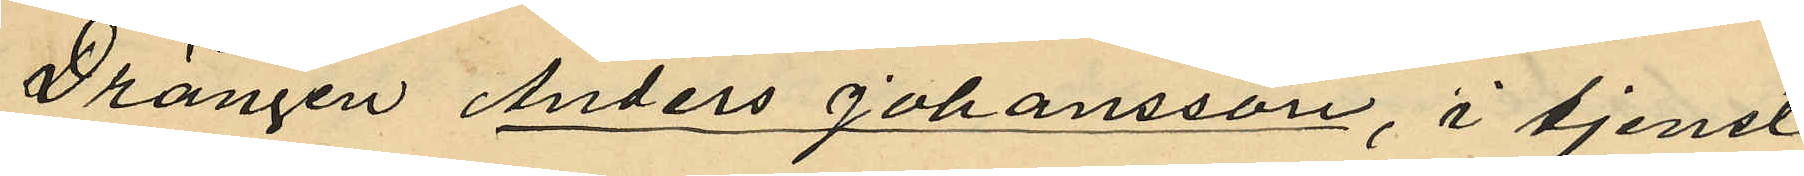Drängen Anders Johansson, i tjenst
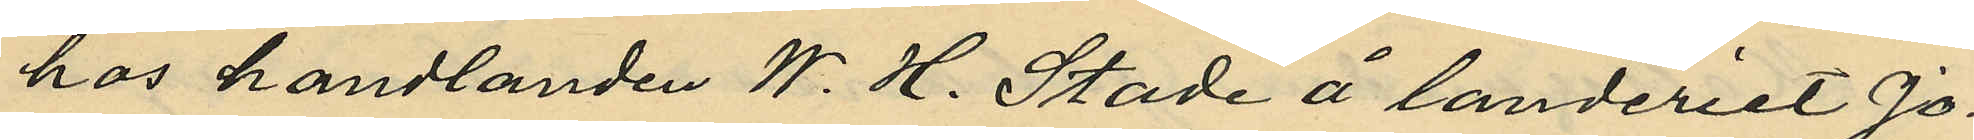hos handlanden W. H. Stade å landeriet Jo¬
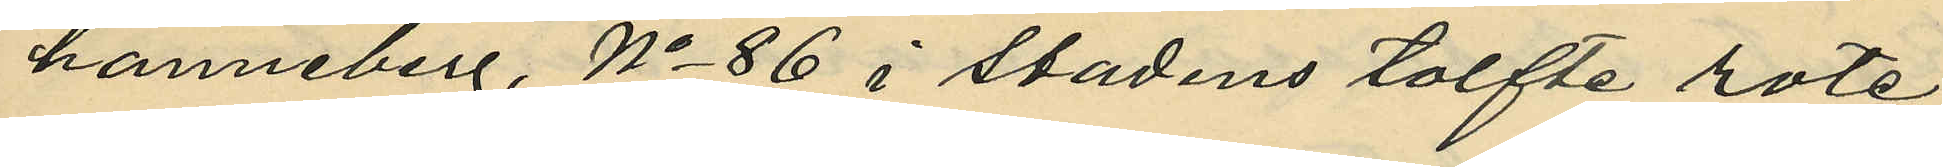hanneberg, No 86 i stadens tolfte rote
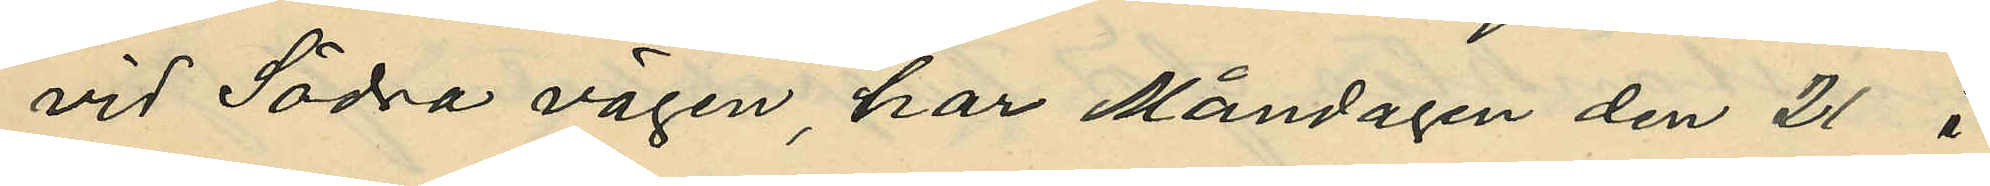vid Södra vägen, har Måndagen den 21 i
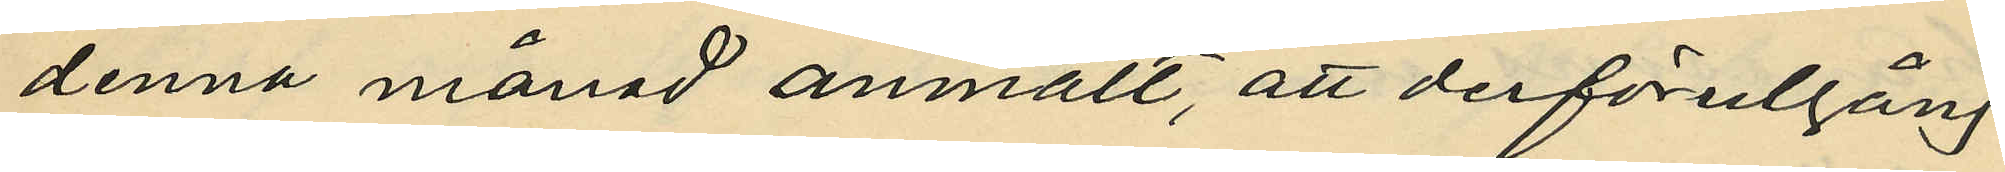denna månad anmält, att derförutgång¬
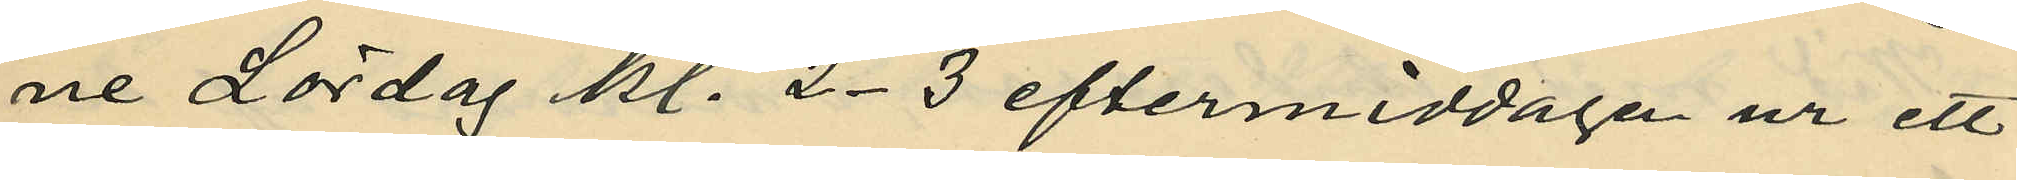ne Lördag kl. 2-3 eftermiddagen ur ett
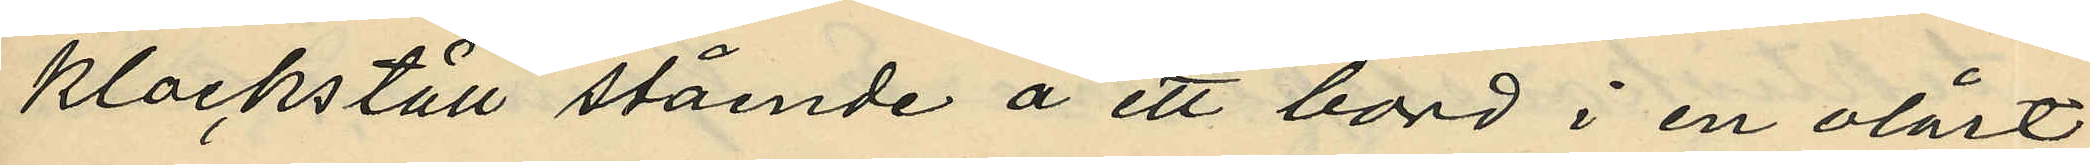klockställ stående å ett bord i en olåst
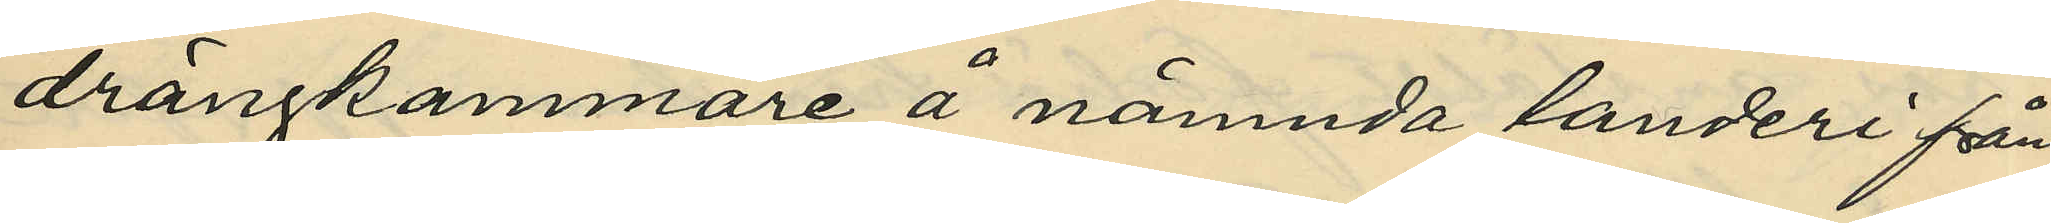drängkammare å nämnda landeri från
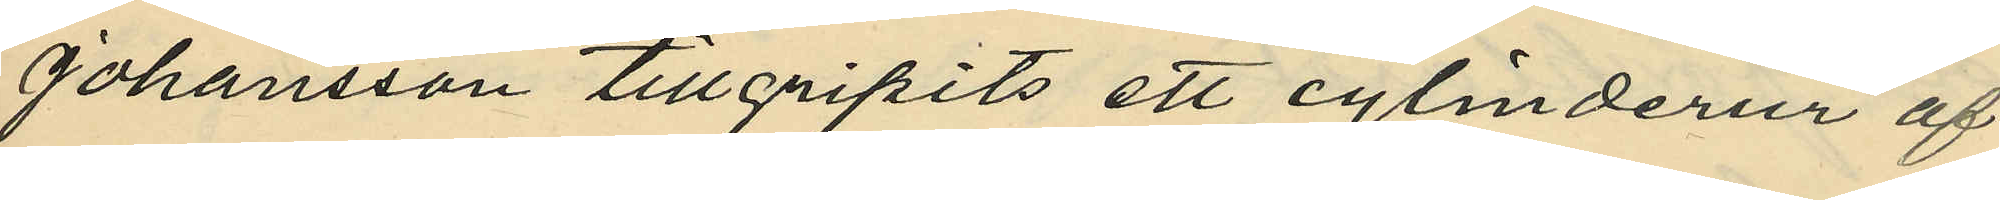Johansson tillgripits ett cylinderur af
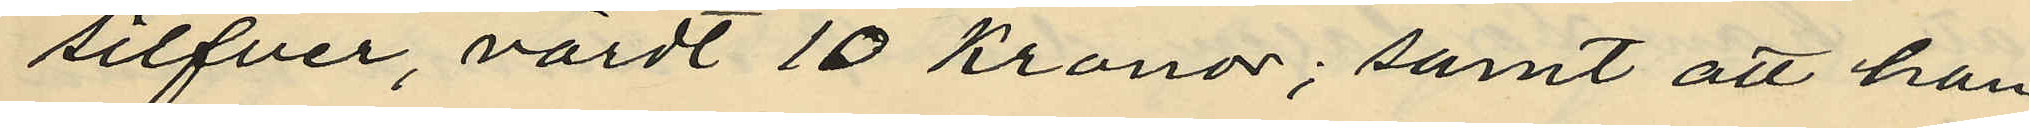silfver, värdt 10 Kronor; samt att han
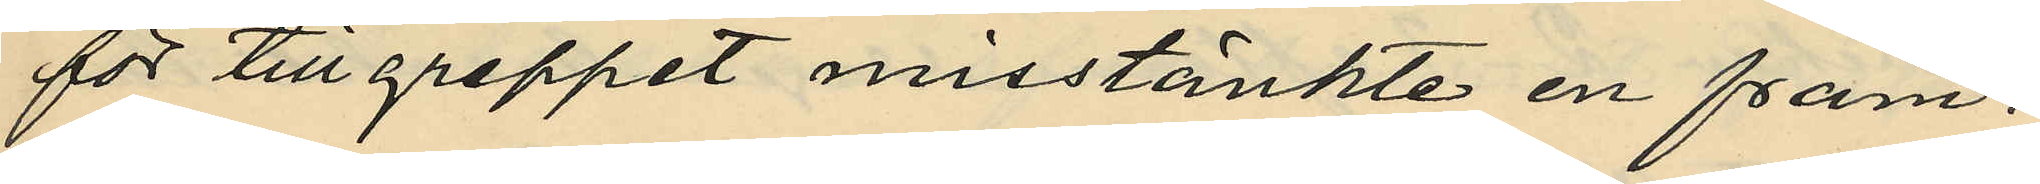för tillgreppet misstänkte en främ¬
